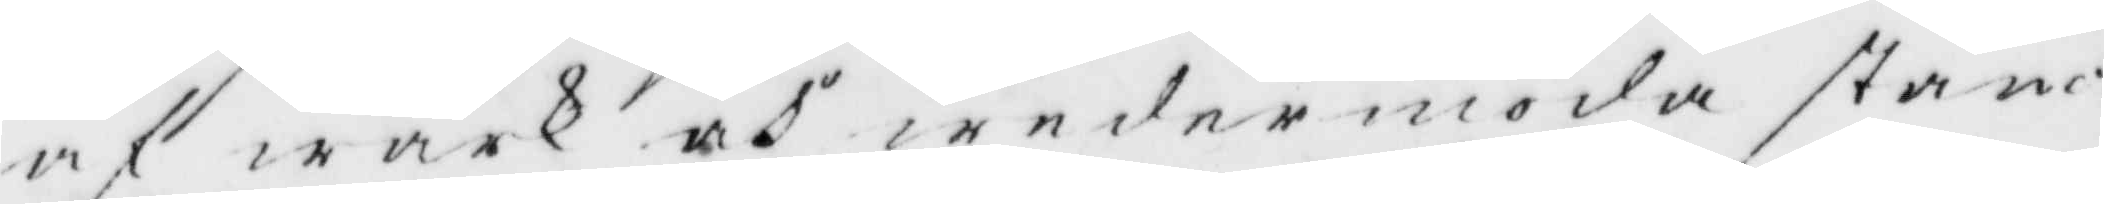af wärk och wedermöda stån¬
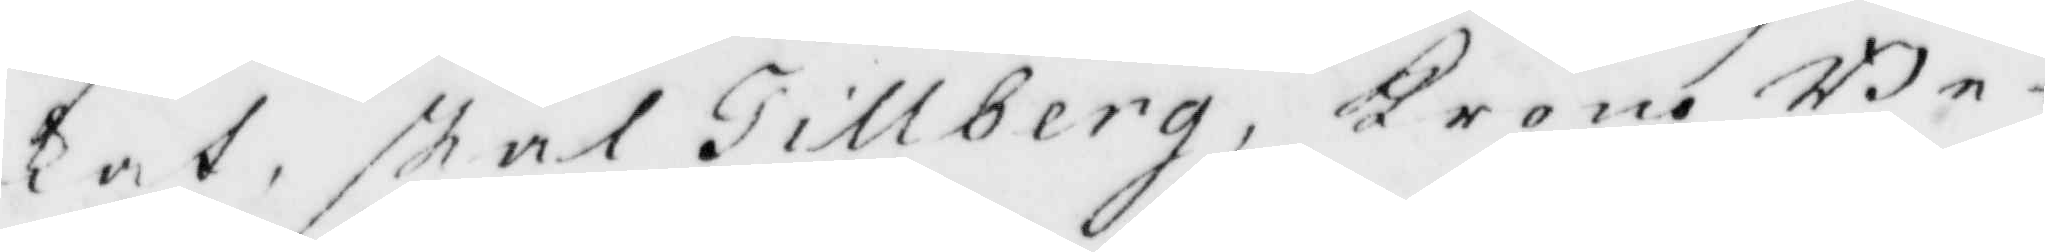kat, skal Tillberg, Krono Be¬
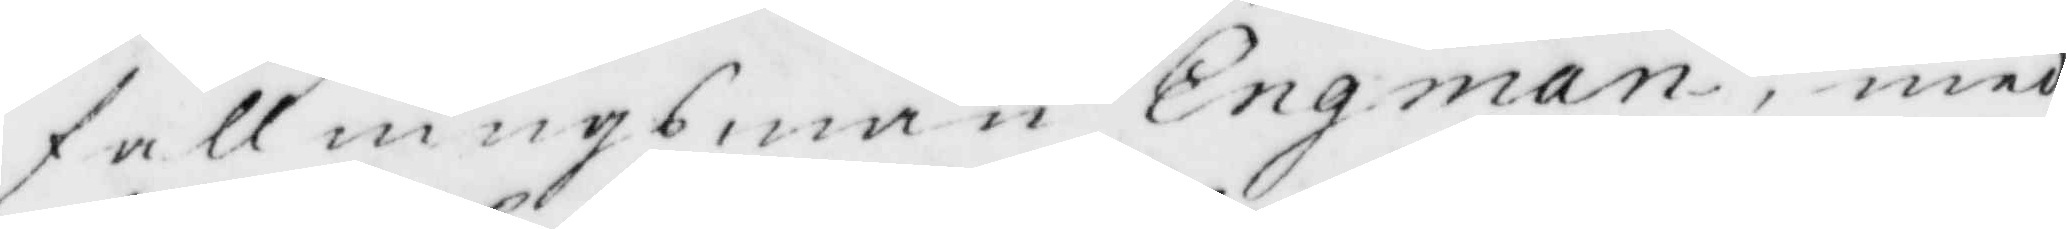fallningsman Engman, med
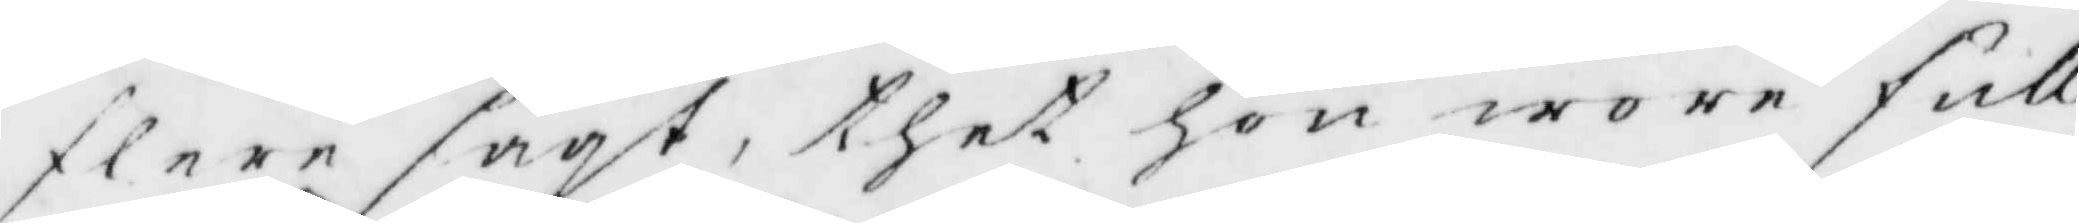flere sagt, thet Hon wore full
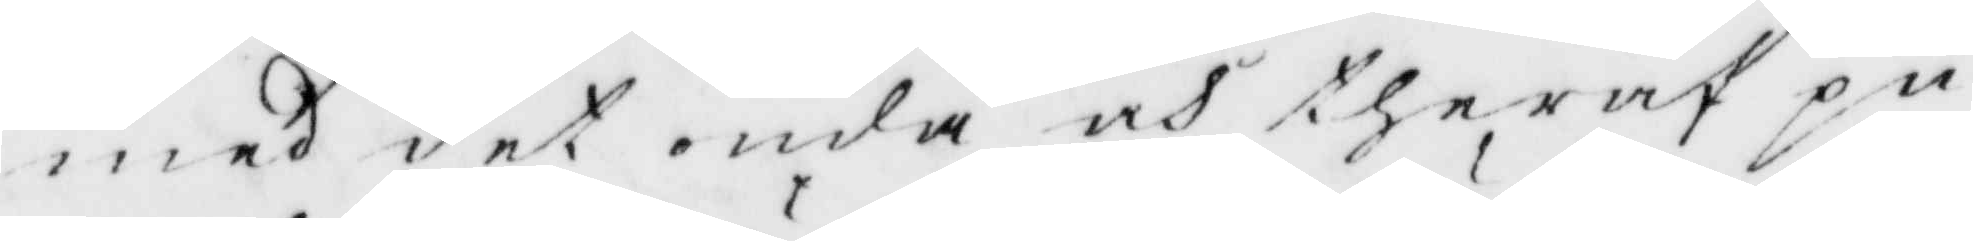med det onda och theraf pu¬
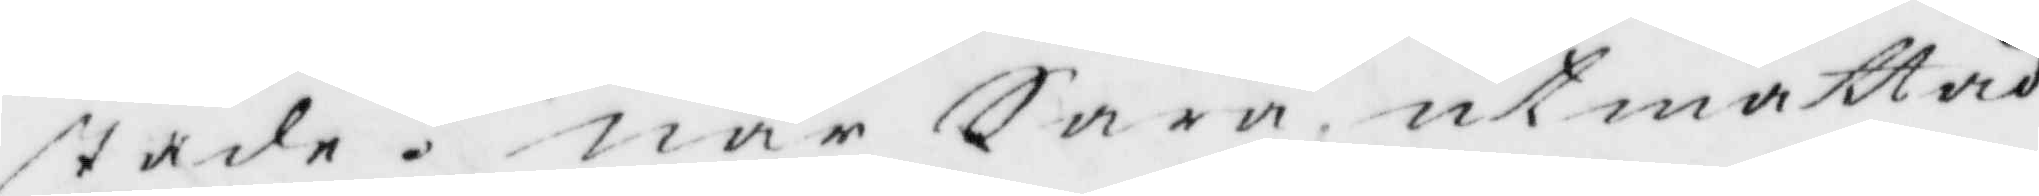stade. när Sara, utmattad
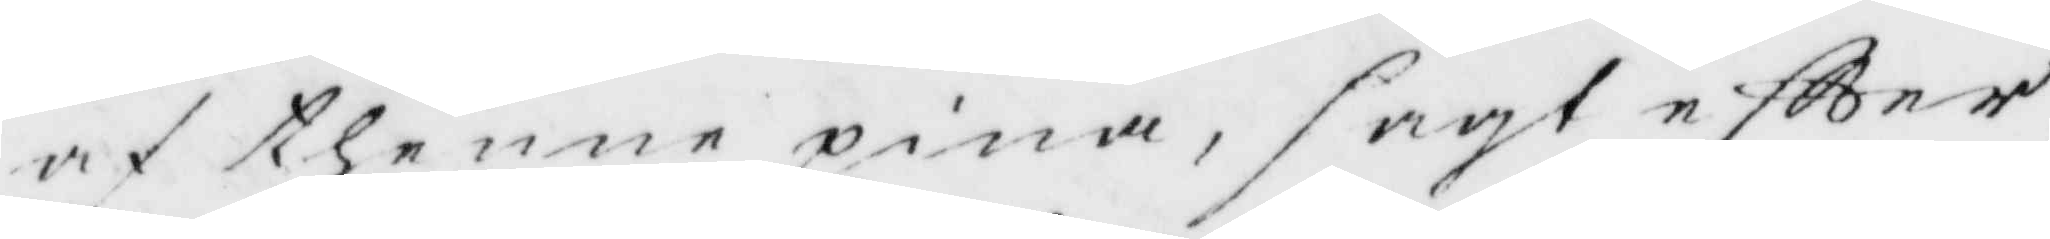af thenne pina, sagt eftter
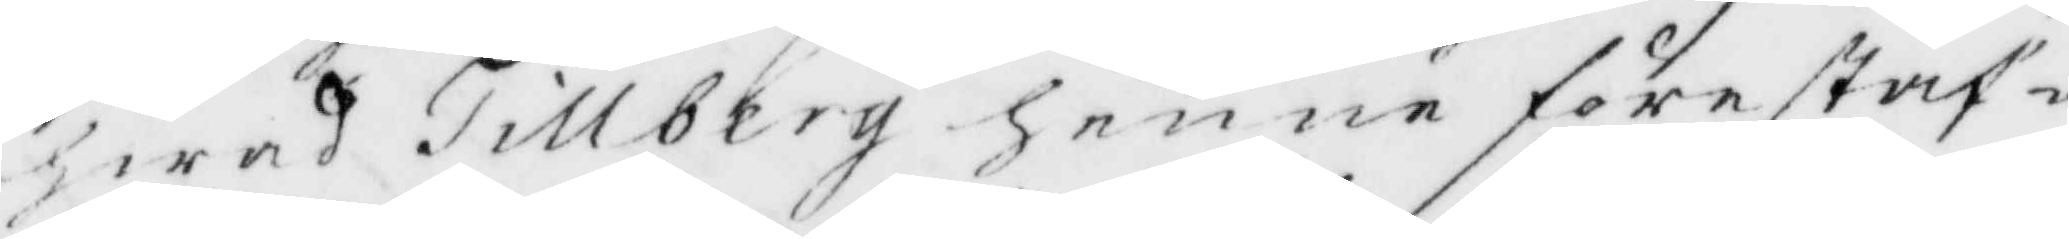hwad Tillberg henne förestaf¬
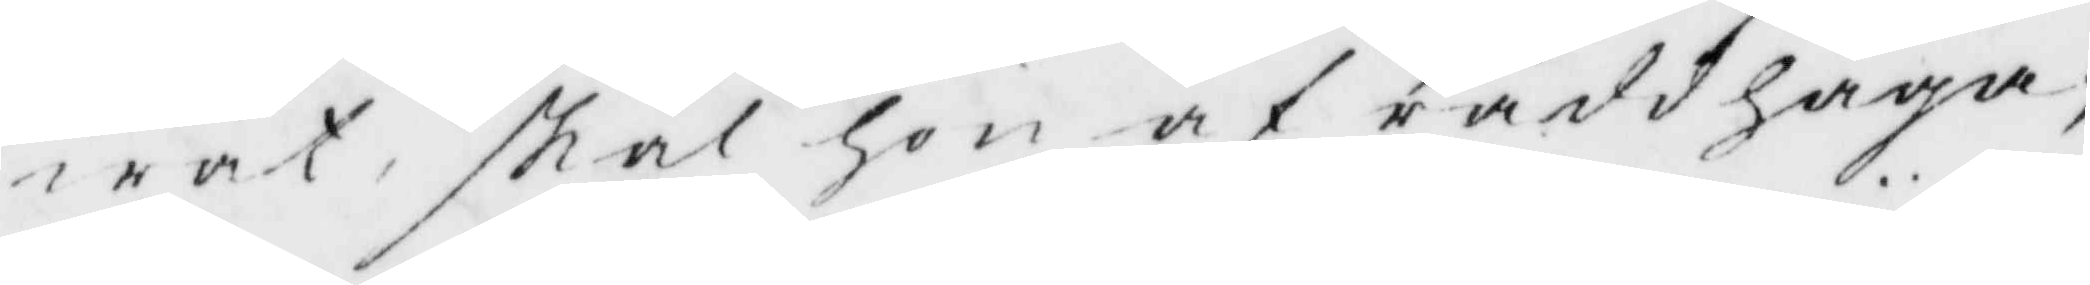wat, skal hon af räddhåga;
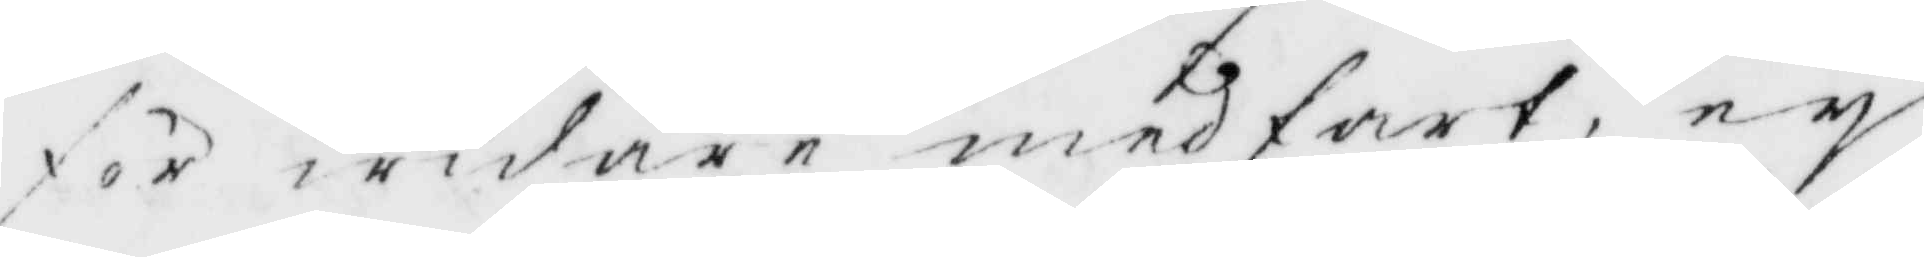för widare medfart, ey
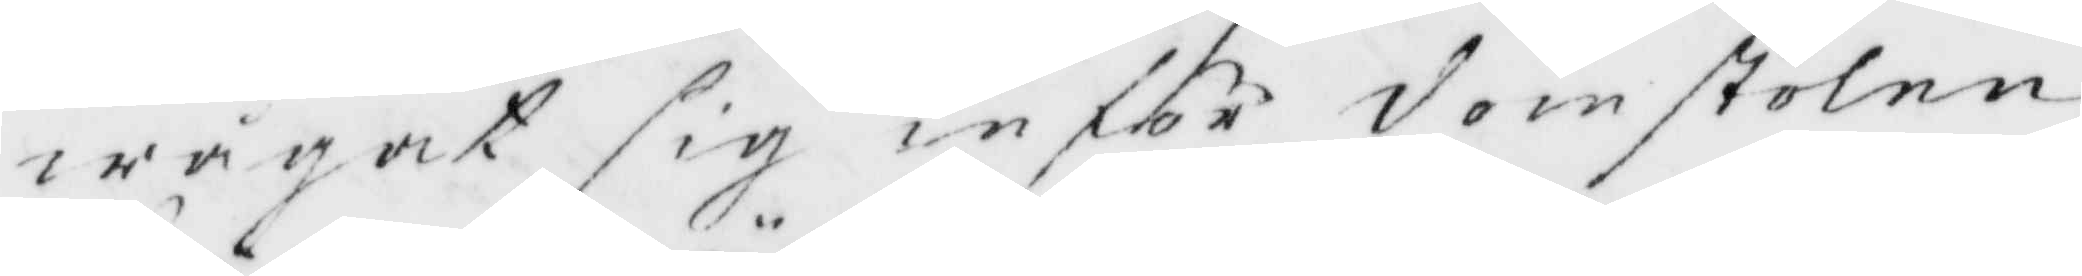wågat sig inför domstolen,
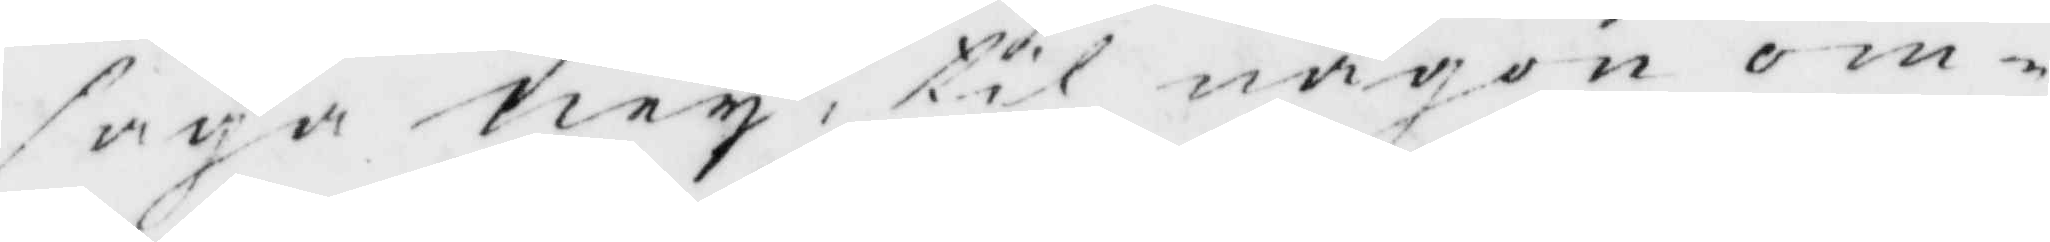säga ney, til någon om¬
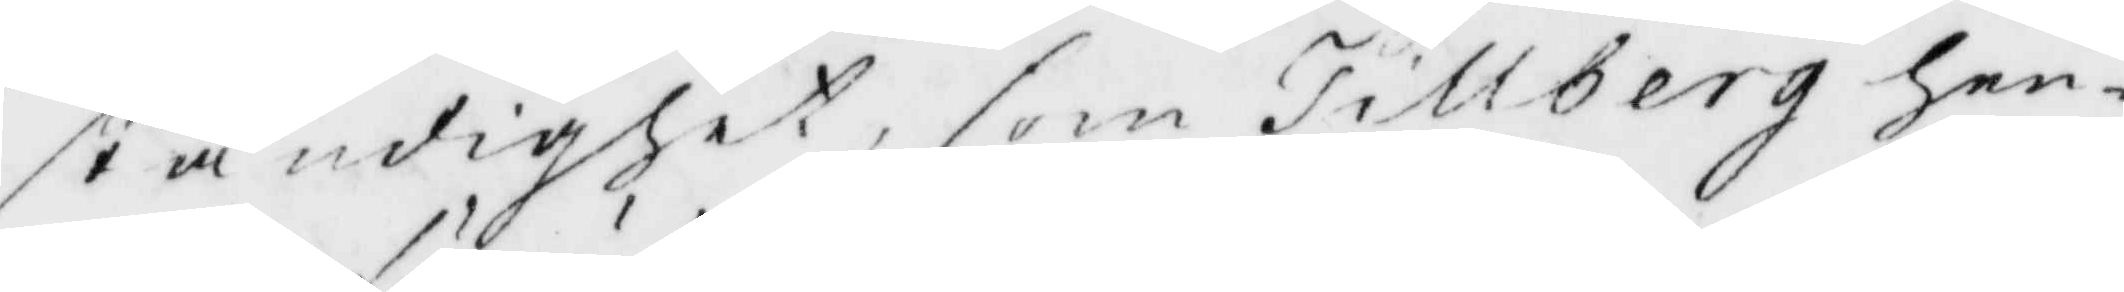ständighet, som Tillberg hen¬
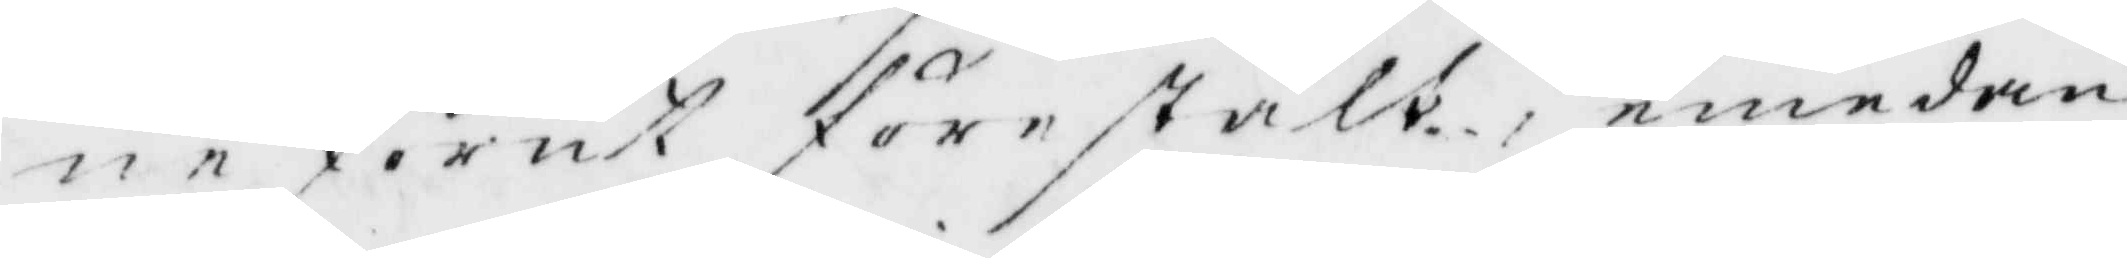ne förut förestält, emedan
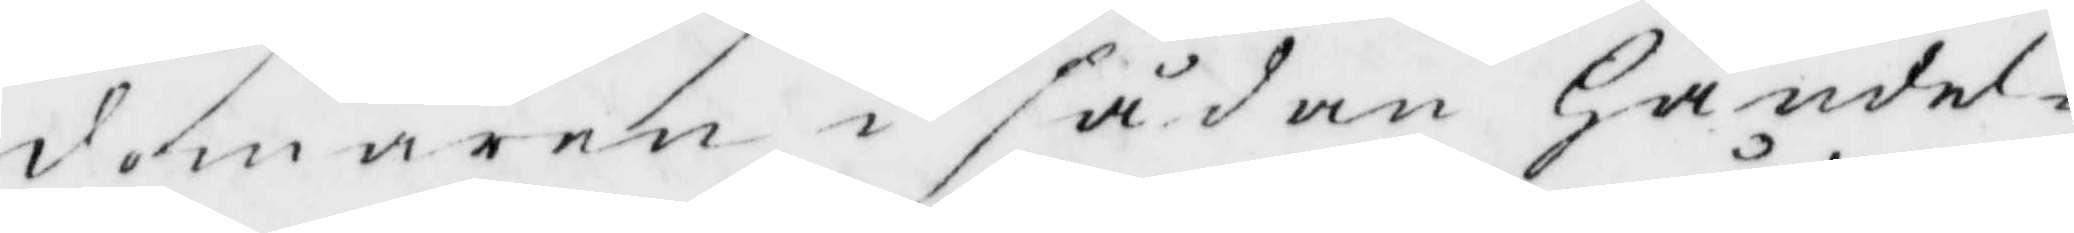domaren i sådan Händel¬
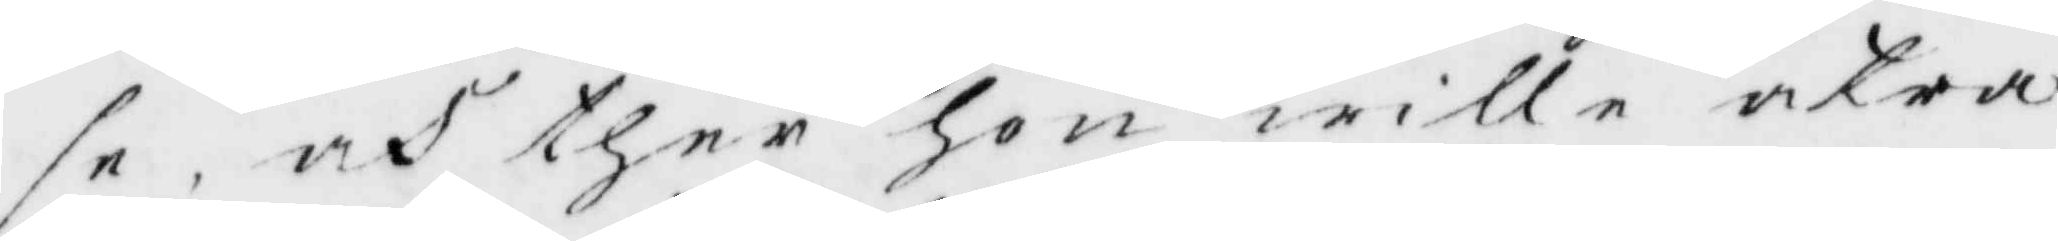se och ther Hon wille åtra
